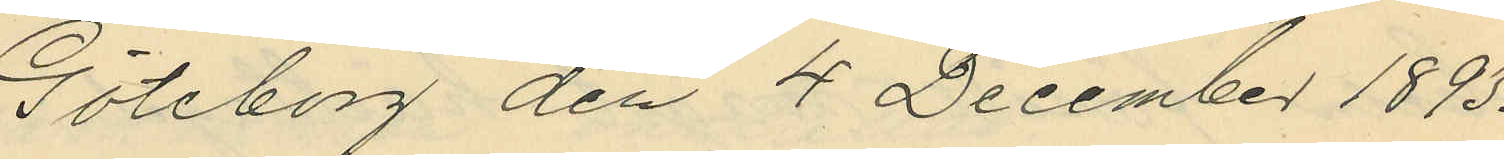Göteborg den 4 December 1893.
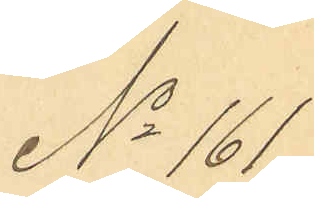No 161
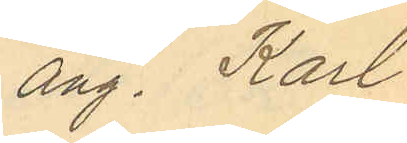ang, Karl
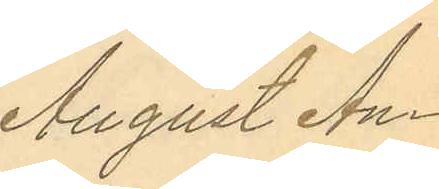August An¬
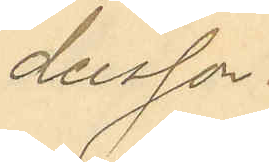dersson.
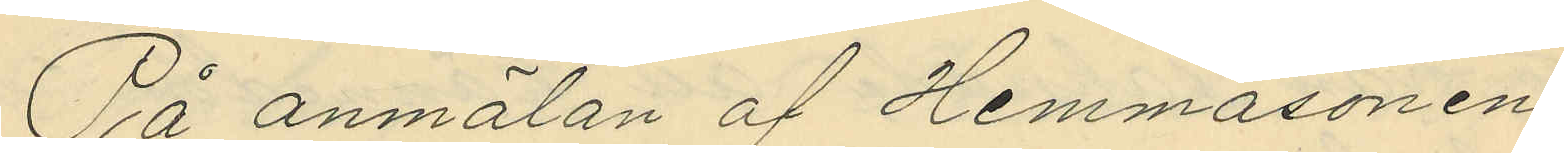På anmälan af Hemmasonen
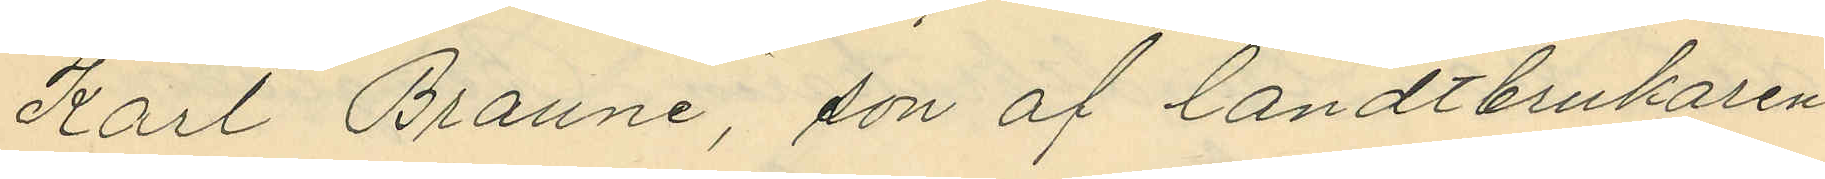Karl Braune, son af landtbrukaren
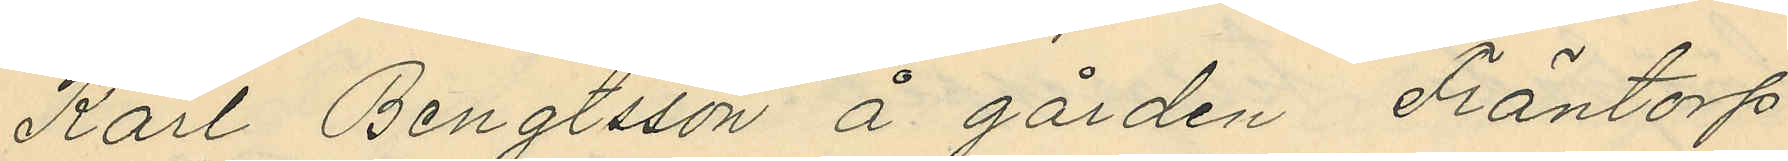Karl Bengtsson å gården Fräntorp
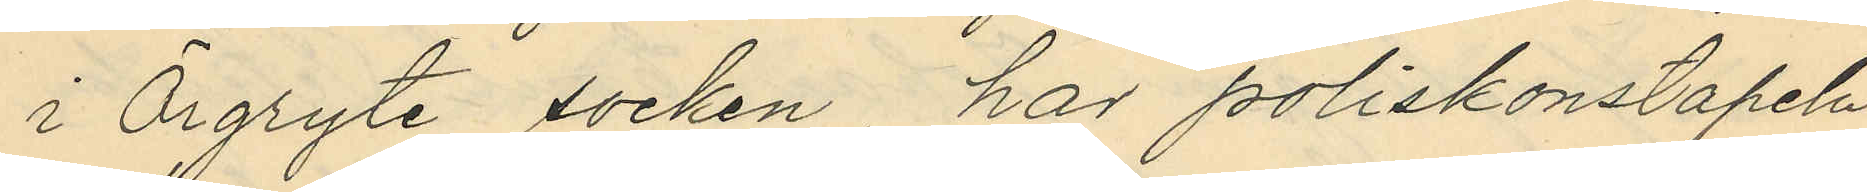i Örgryte socken, har poliskonstapeln
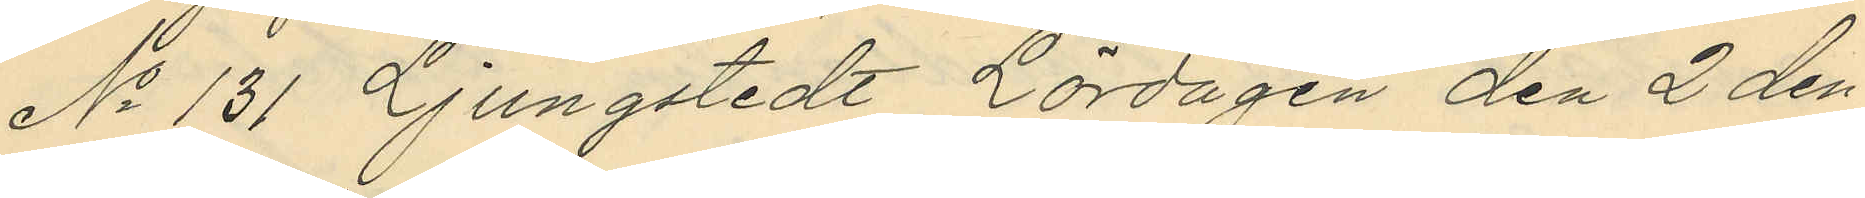No 131 Ljungstedt Lördagen den 2 den¬
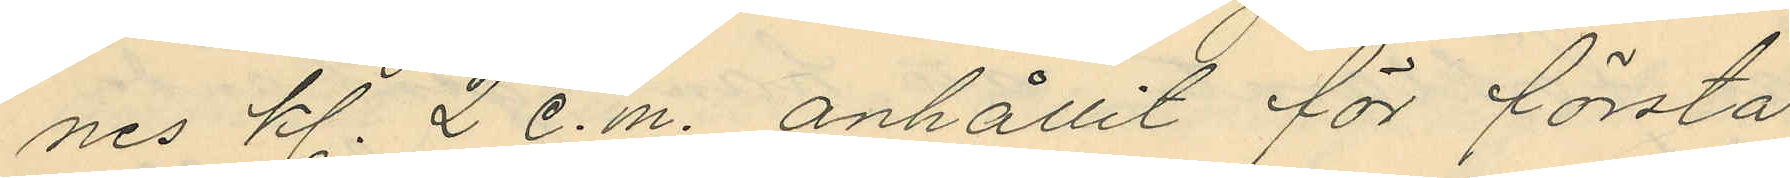nes kl. 2 e.m. anhållit för första
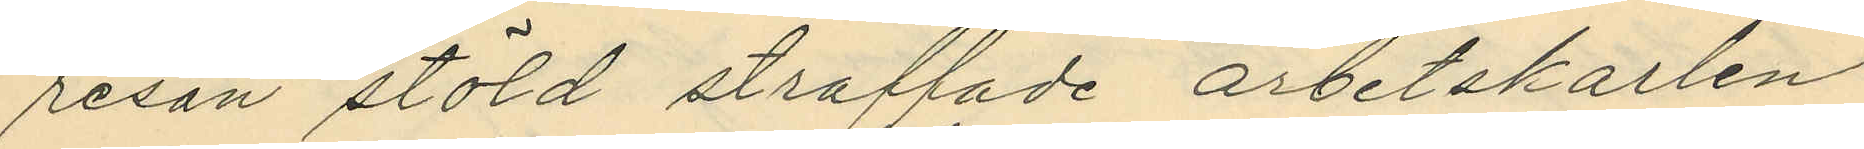resan stöld straffade arbetskarlen
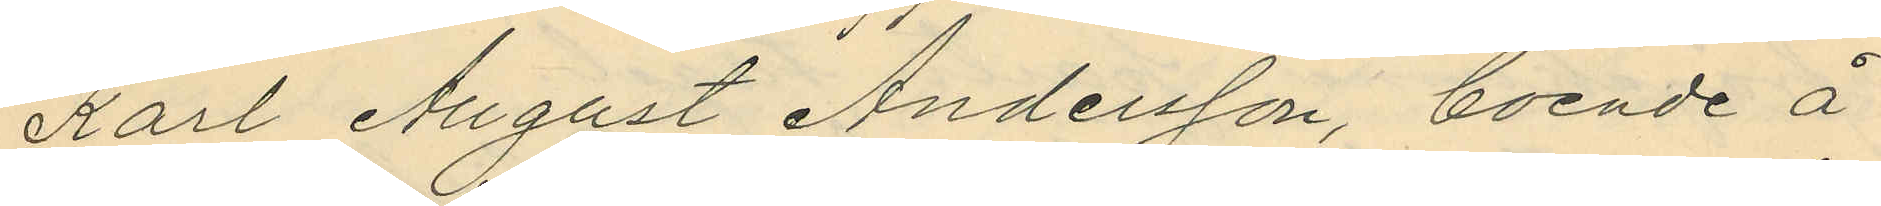Karl August Andersson, boende å
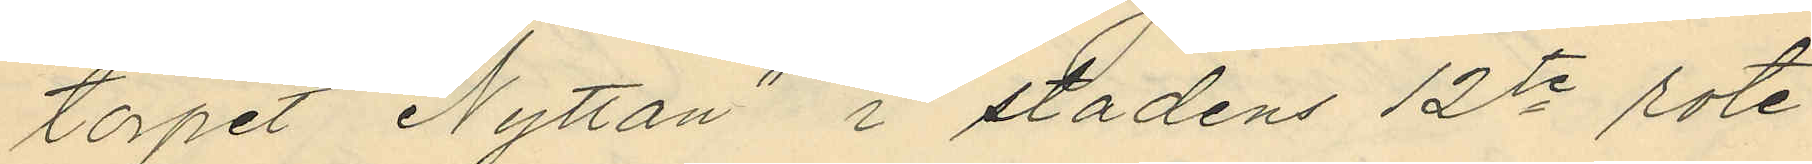torpet "Nyttan" i stadens 12te rote
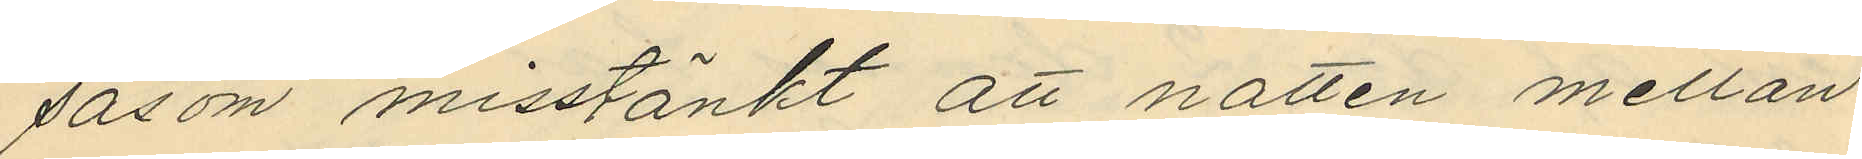såsom misstänkt att natten mellan
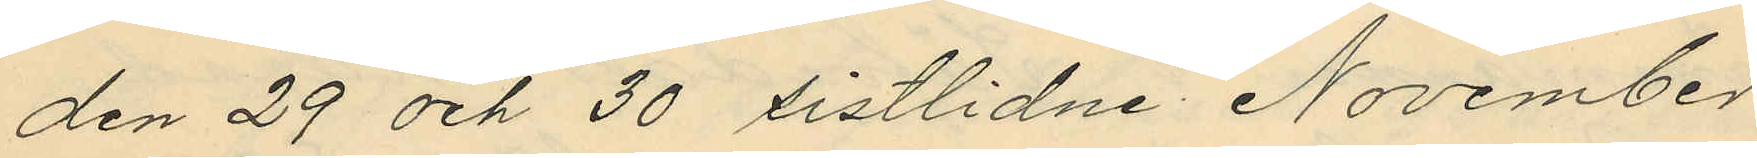den 29 och 30 sistlidne November
